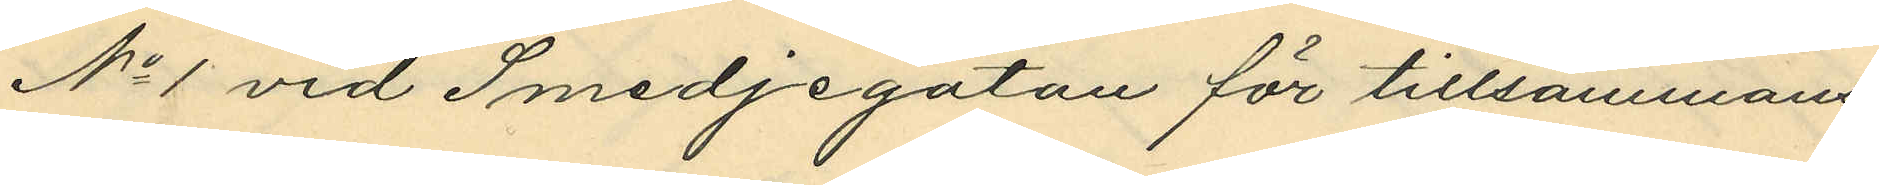No 1 vid Smedjegatan för tillsammans
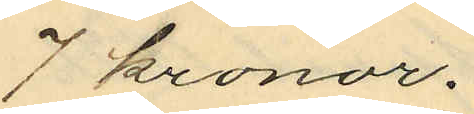7 kronor.
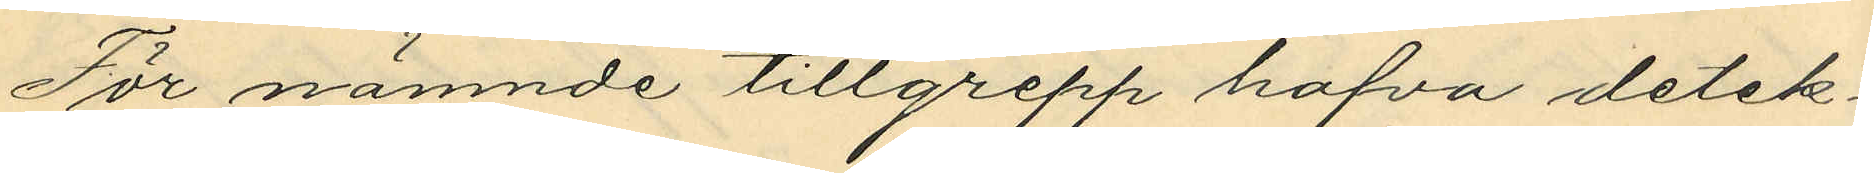För nämnde tillgrepp hafva detek¬
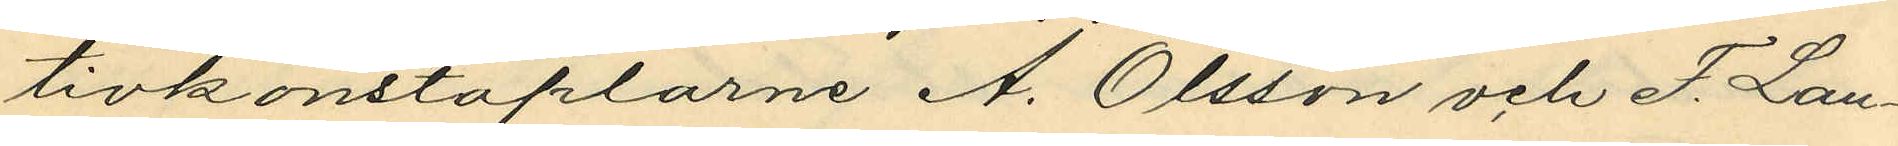tivkonstaplarne A. Olsson och F. Lan¬
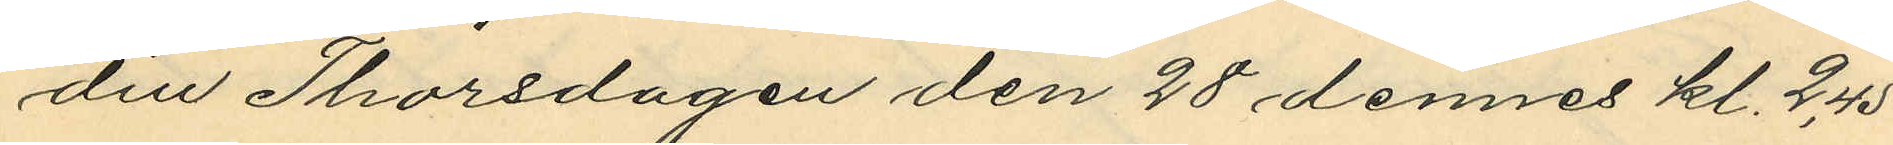din Thorsdagen den 28 dennes kl. 2,45
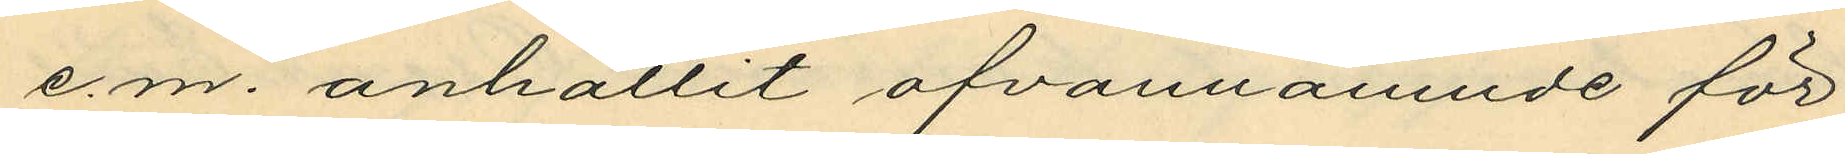e.m. anhållit ofvannämnde för
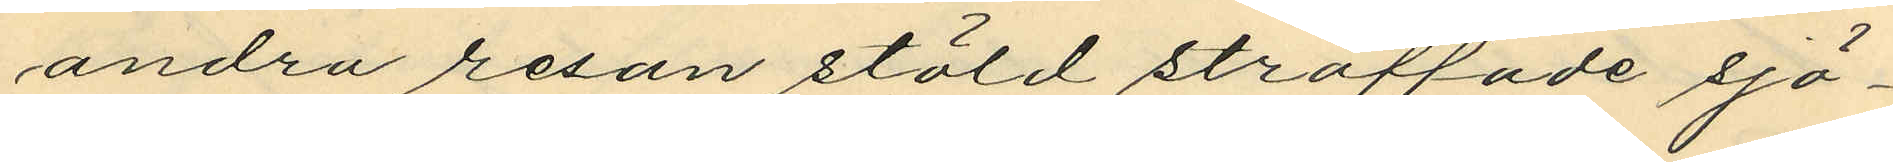andra resan stöld straffade sjö¬
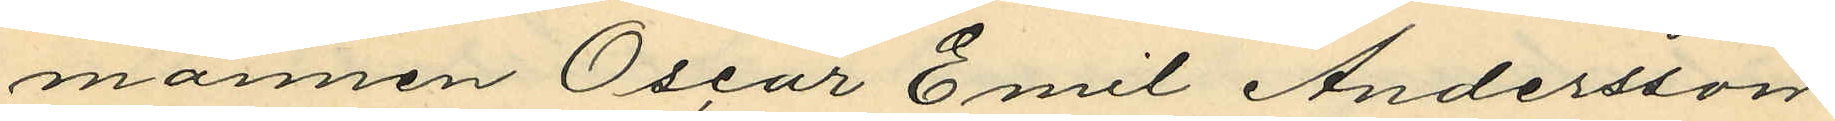mannen Oscar Emil Andersson
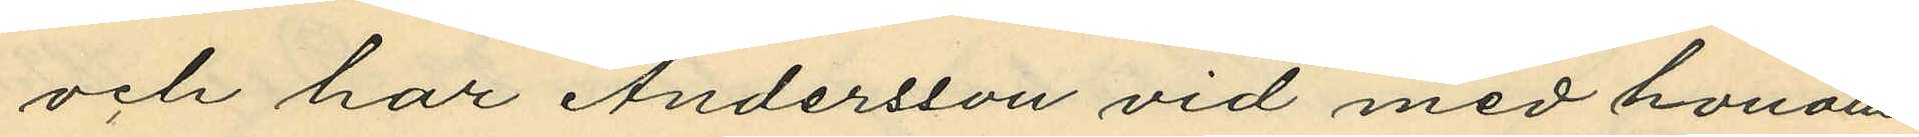och har Andersson vid med honom
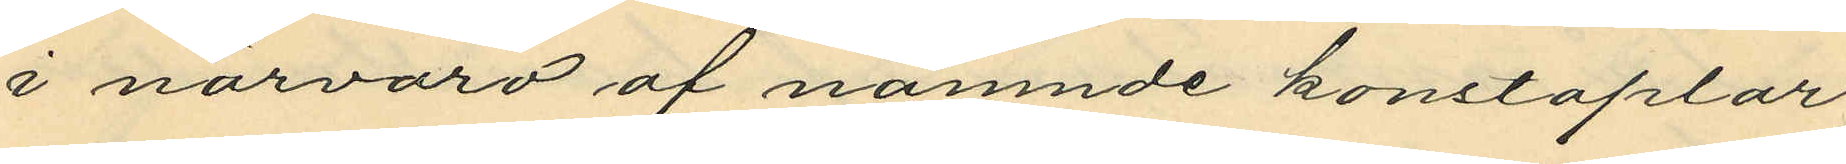i närvaro af nämnde konstaplar
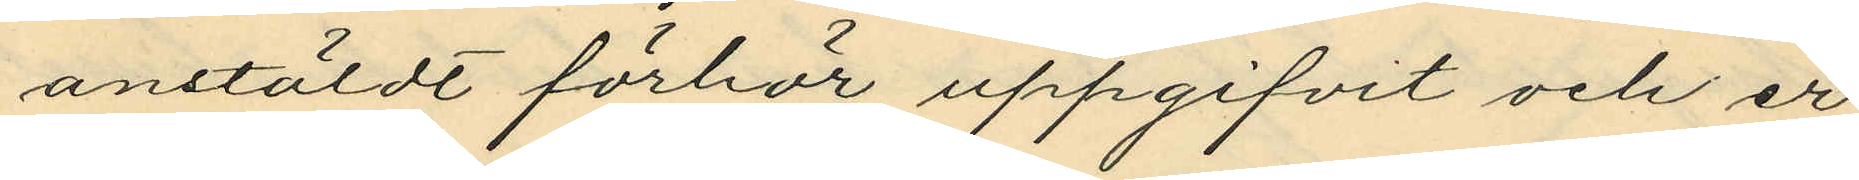anstäldt förhör uppgifvit och er¬
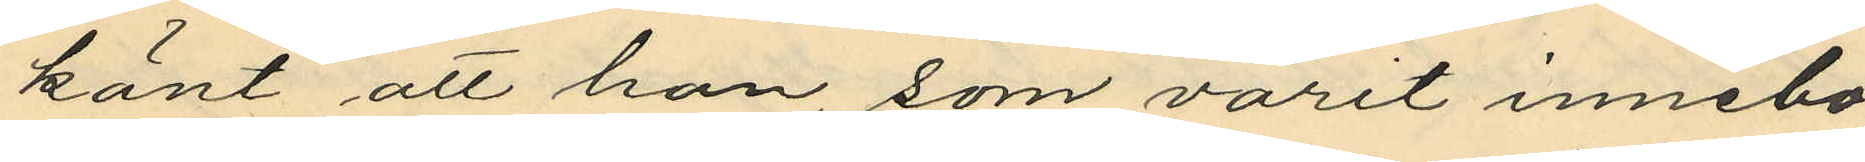känt att han, som varit innebo¬
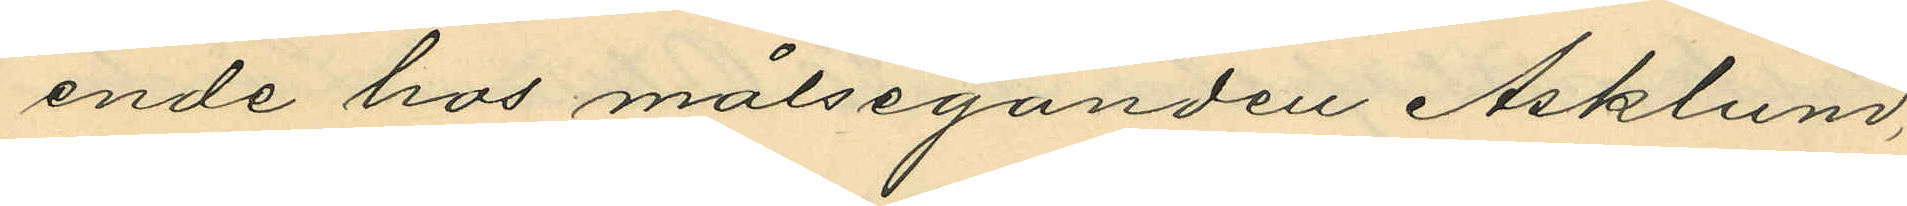ende hos målseganden Asklund,
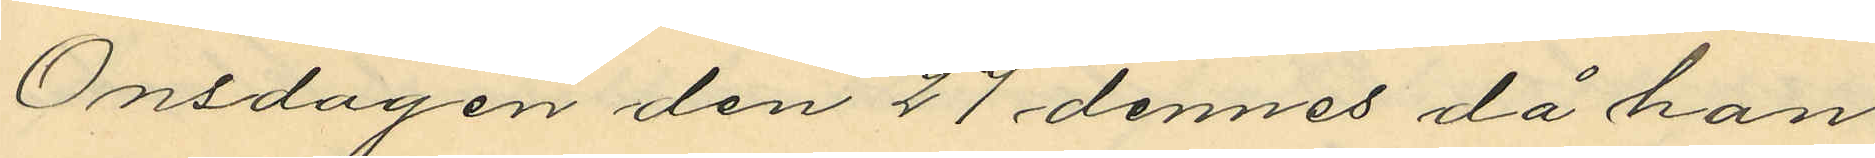Onsdagen den 27 dennes då han
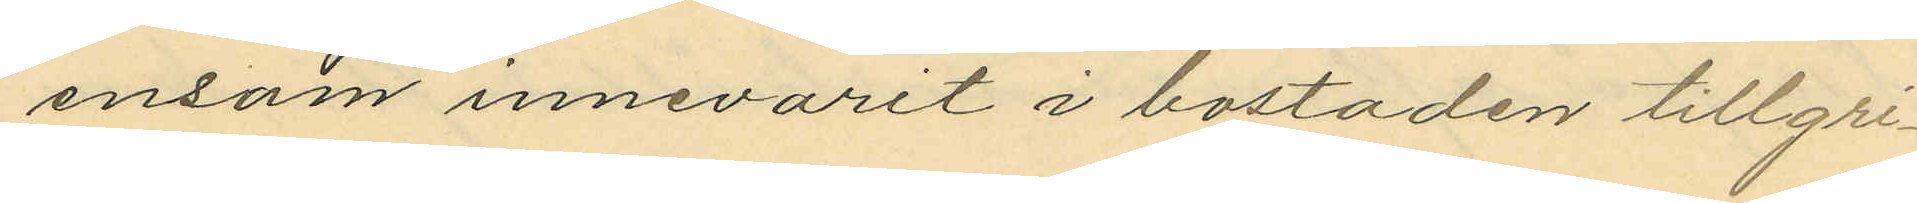ensam innevarit i bostaden tillgri¬
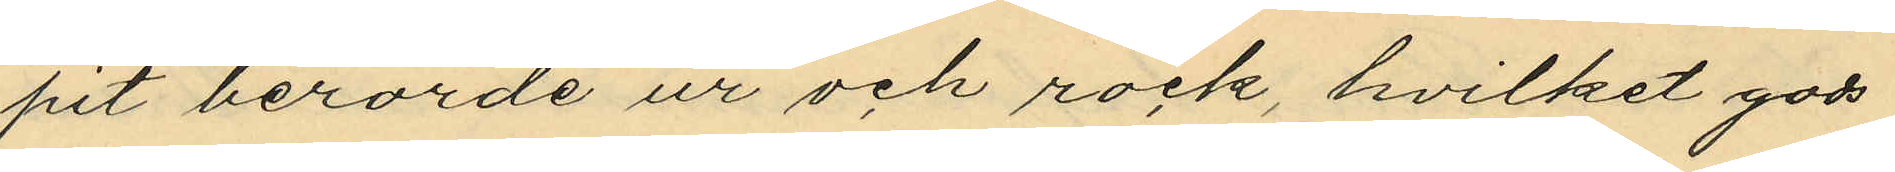pit berörde ur och rock, hvilket gods
